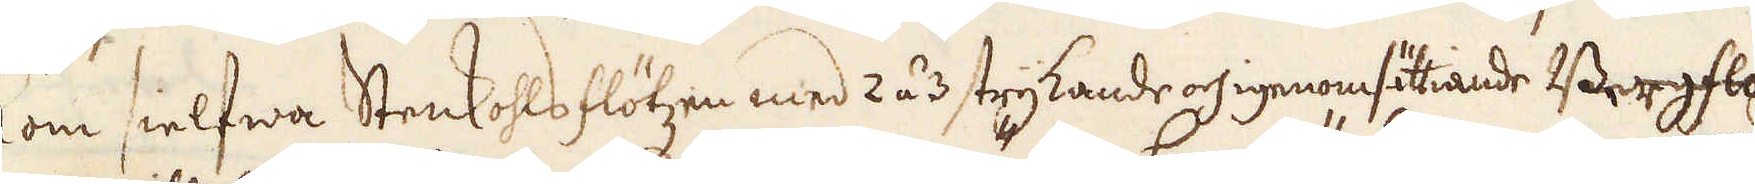kom sielfwa Stenkohlsflötzen med 2 á 3 strykande och igenomsättiande Bergflötzer,
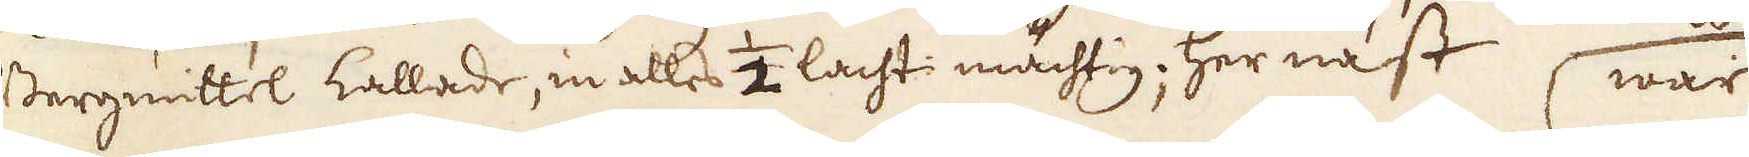Bergmittel kallade, in alles 1/2 lacht: mächting; Her näst war
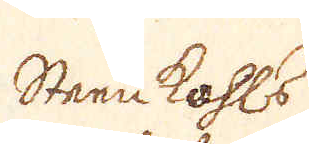Sten kohls
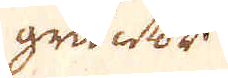gruntor
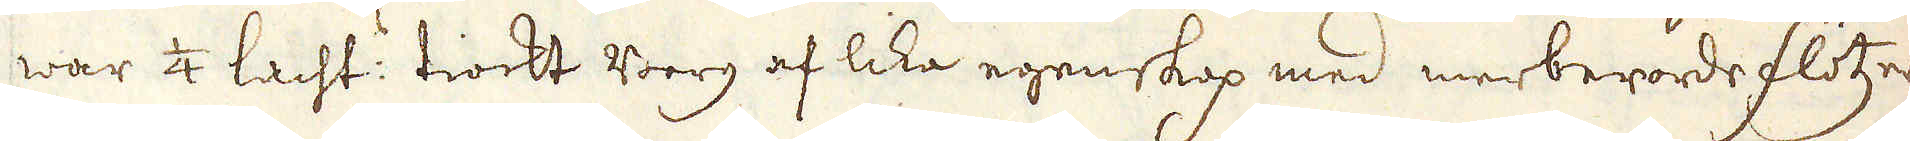 war 1/4 lacht: tiockt berg af lika egenskap med merberörde flötzer,
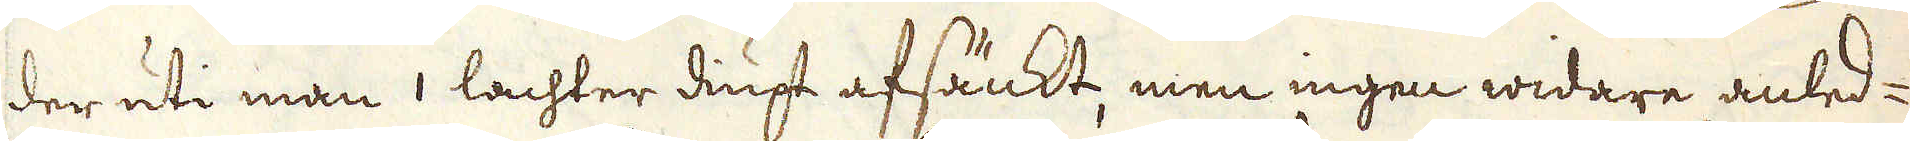der uti man 1 lachter diupt afsänkt, men ingen widare anled-
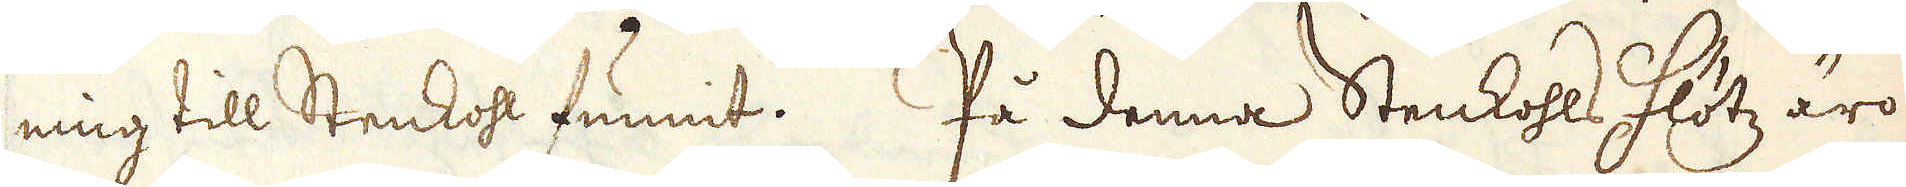ning till Stenkohl funnit. På denna Stenkohls Flötz äro
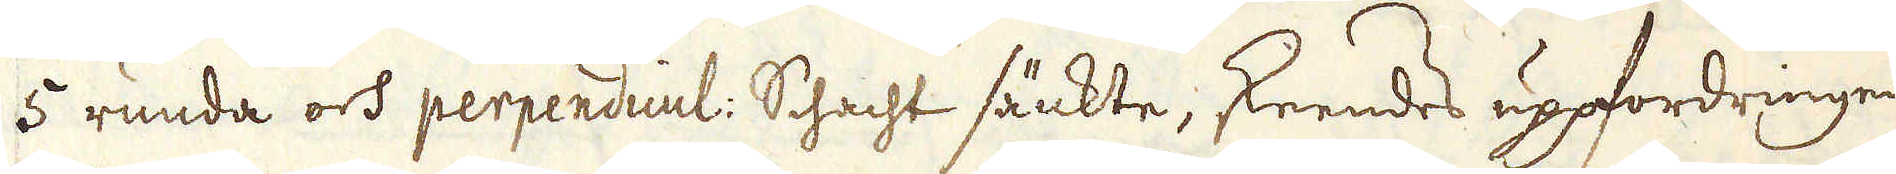5 runda och perpendicul: Schacht sänkte, skeendes uppfordringen
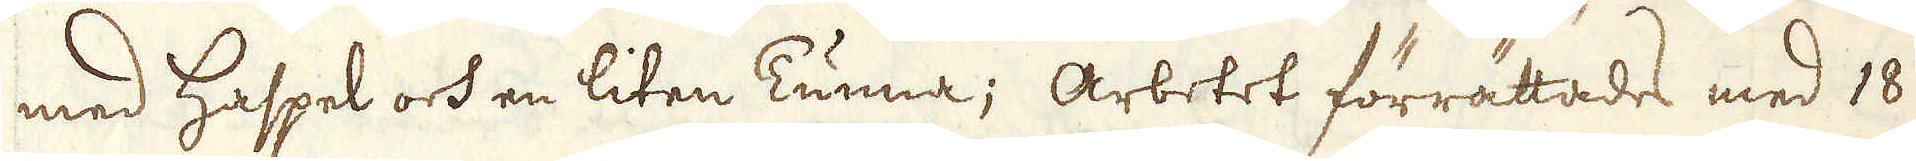med haspel och en liten Tunna; Arbetet förrättades med 18
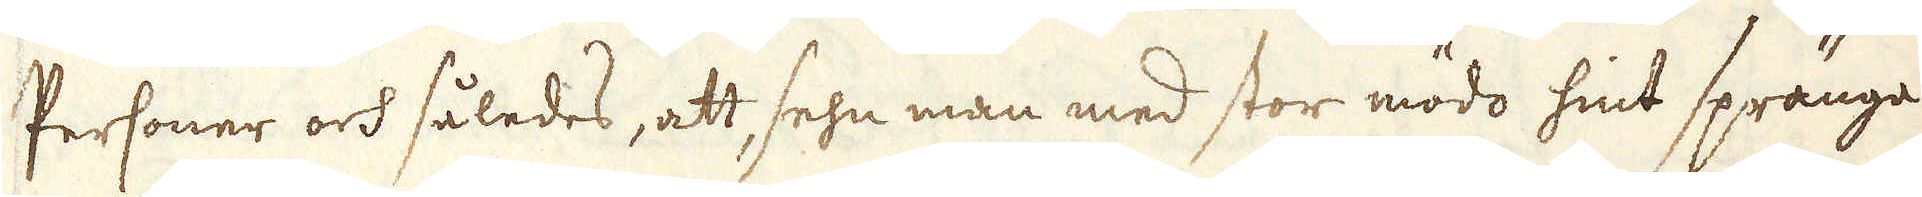Personer och således, att sehn man med stor mödo hint spränga
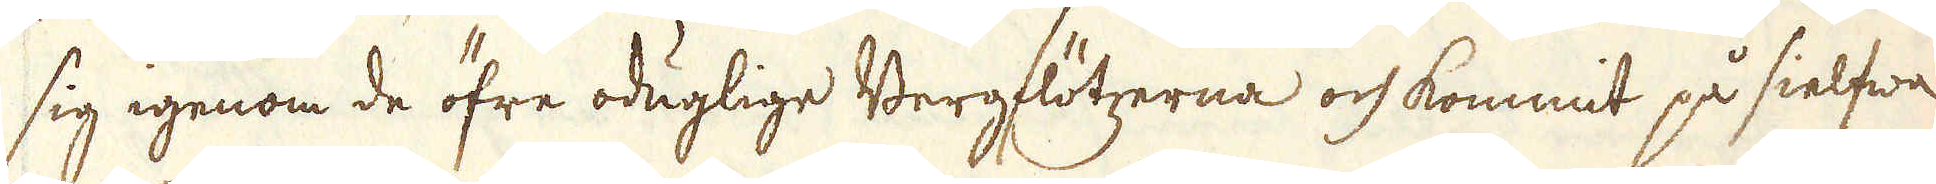sig igenom de öfre oduglige Bergflötzerna och kommit på sielfwa
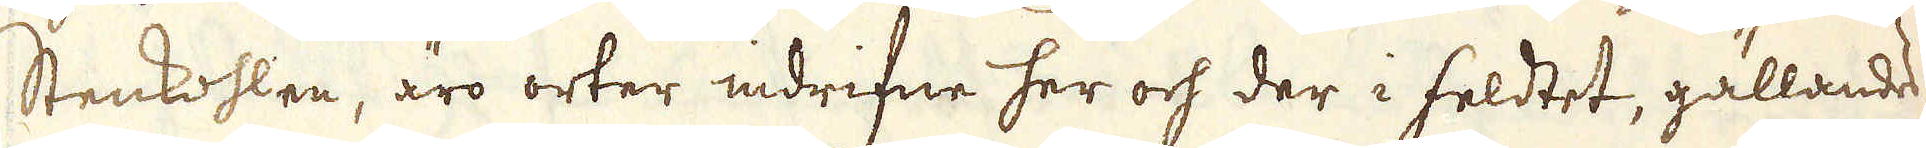Stenkohlen, äro orter indrifne her och der i feldtet, gällandes
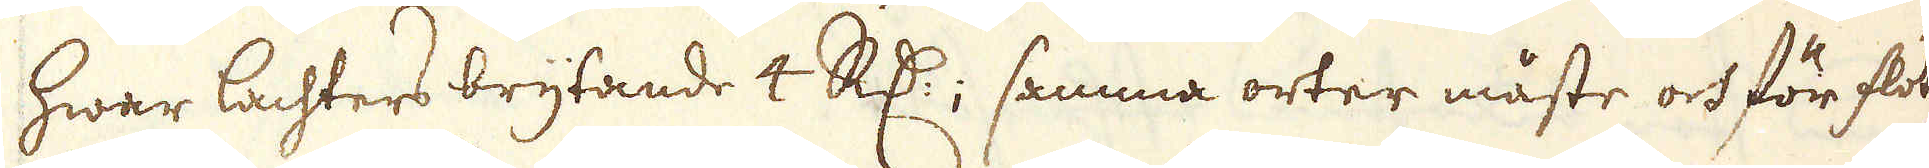hwar lachters brytande 4 R:dr; samma orter måste och för flöt-
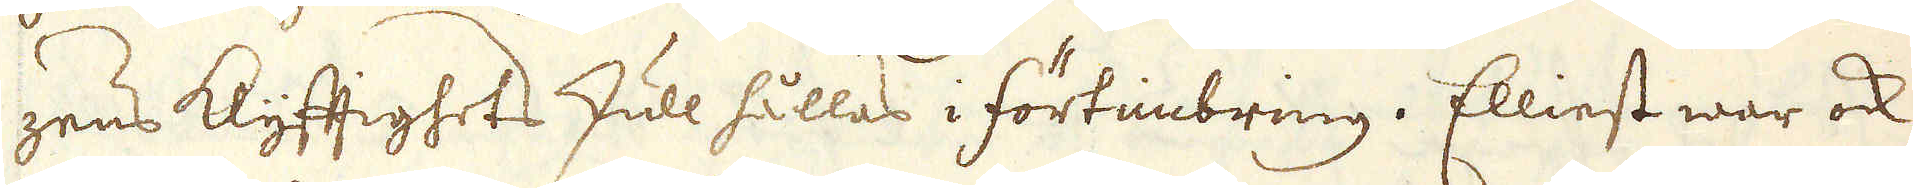zens Klyftighets skull hållas i förtimbring. Elliest war ock
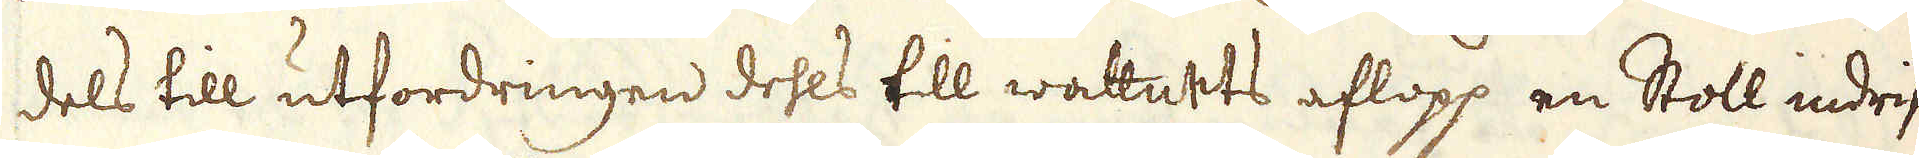dels till utfordringen dehls till wattnets aflopp en Stoll indrif-
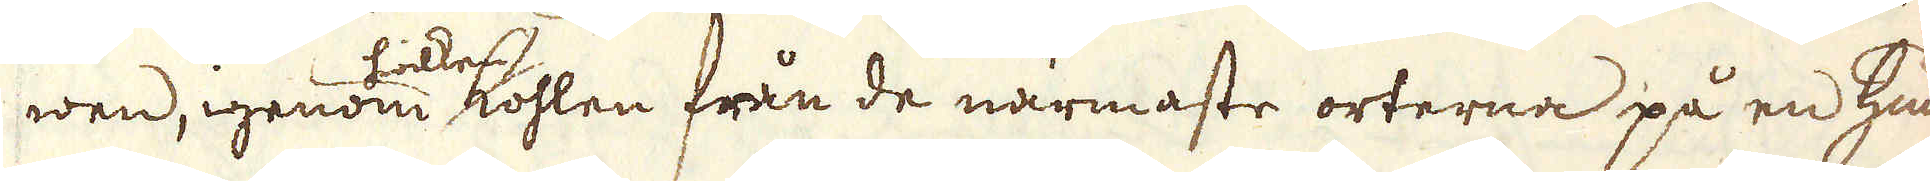wen, igenom hwilken kohlen från de närmaste orterna på en hund
